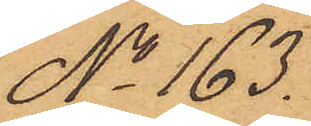No 163.
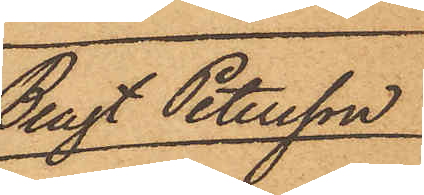Bengt Petersson
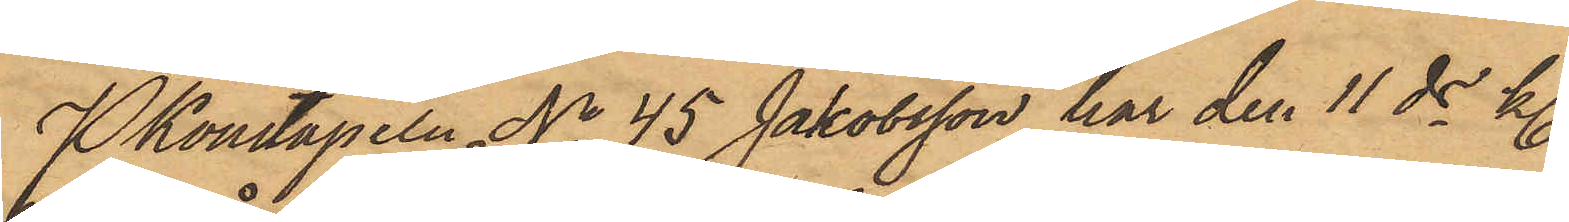PKonstapeln No 45 Jakobsson har den 11 ds kl.
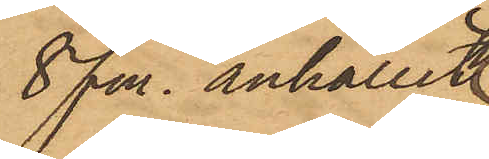8 fm. anhållit
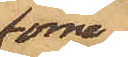förre
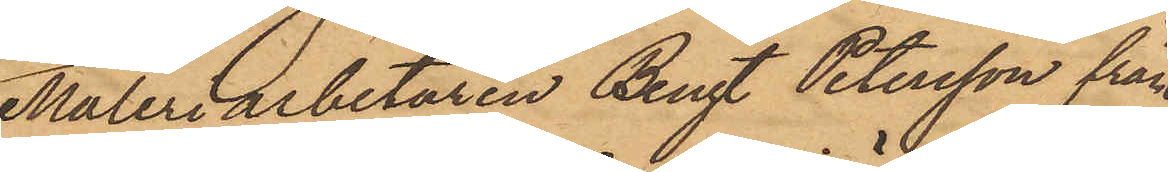Måleriarbetaren Bengt Petersson från
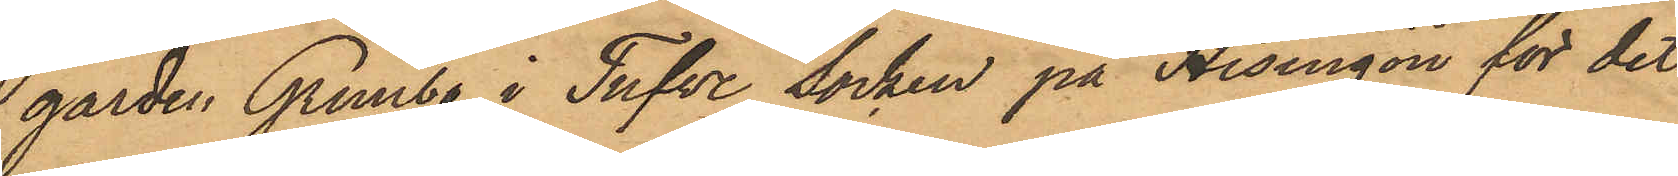gården. Grimbo i Tufve Socken på Hisingön för det
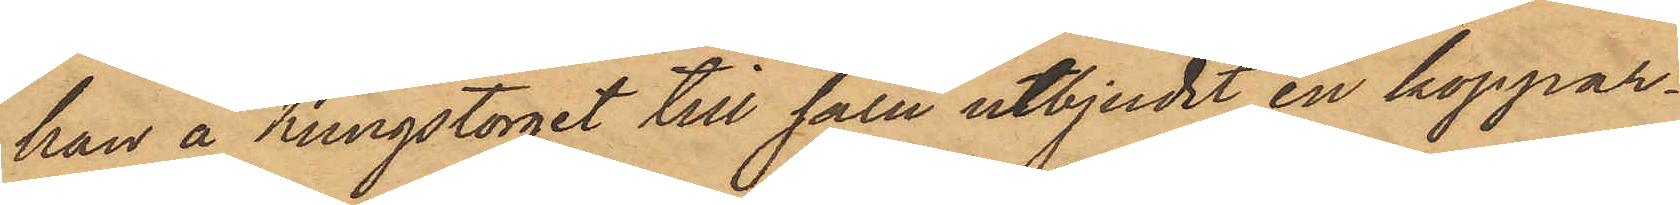han å Kungstorget till salu utbjudit en koppar¬
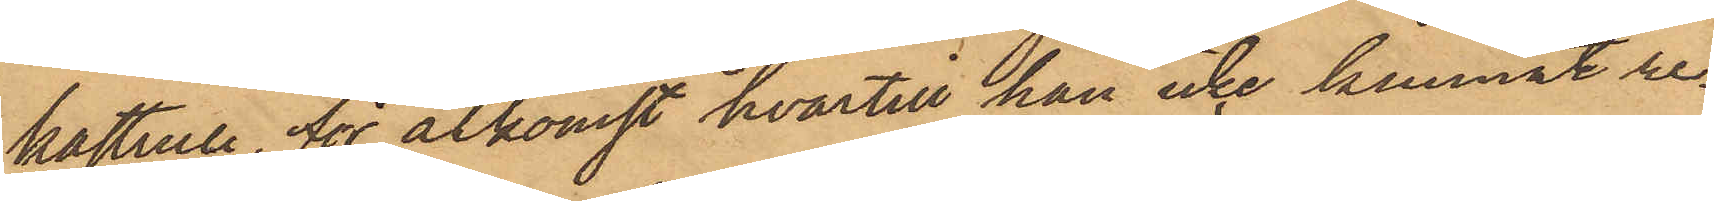kastrull, för åtkomst hvartill han icke kunnat re¬
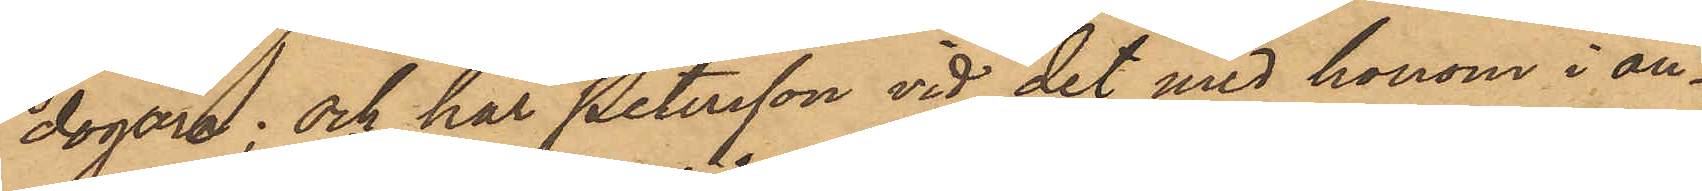dogöra; och har Petersson vid det med honom i an¬
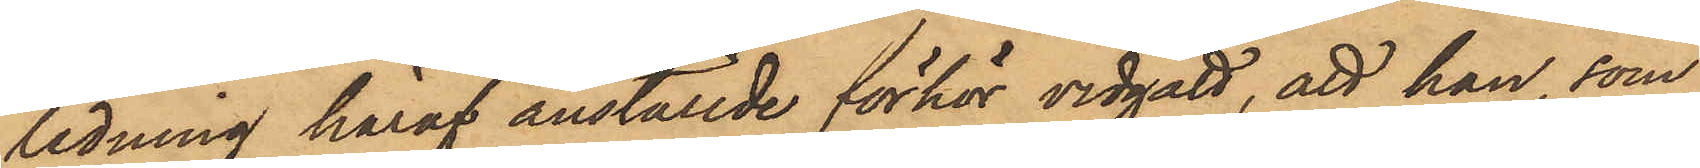redning häraf anställde förhör vidgått, att han, som
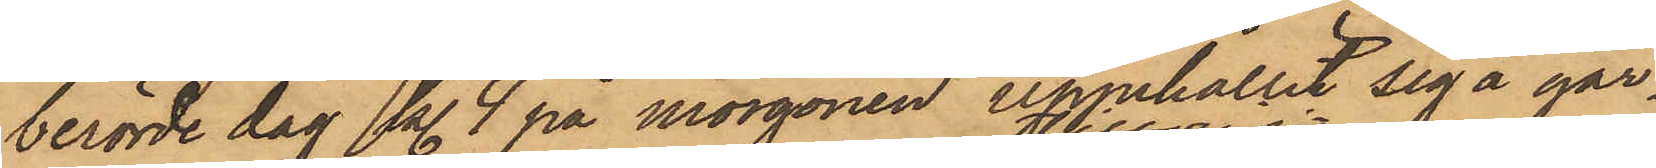berörde dag kl. 4 på morgonen uppehållit sig å går¬
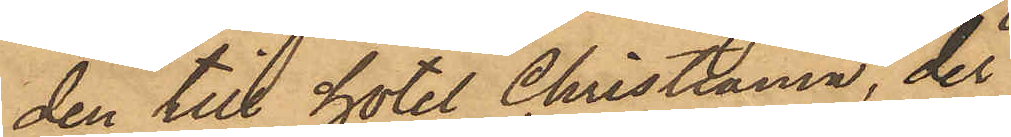den till hotel Christiania, der
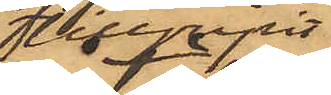tillgripit
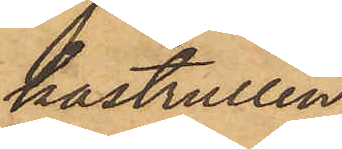kastrullen,
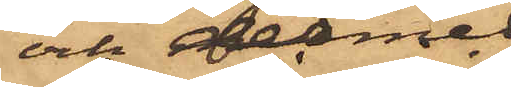och dermed
